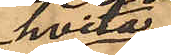hvita
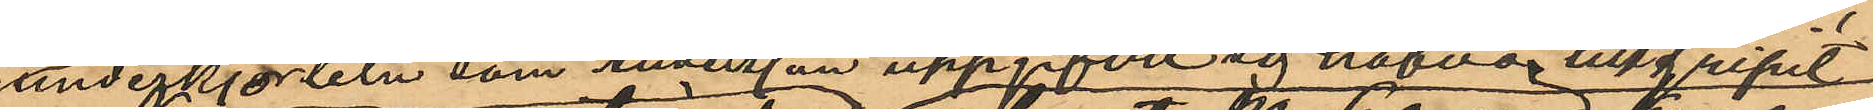underkjorteln som Andersson uppgifvit sig hafva tillgripit
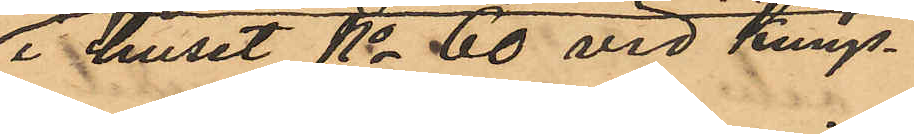i huset No 60 vid Kungs¬
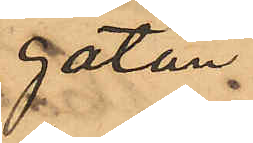gatan
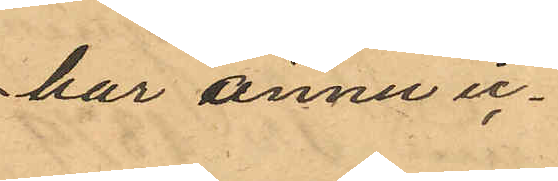har ännu ic¬
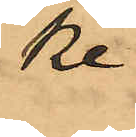ke
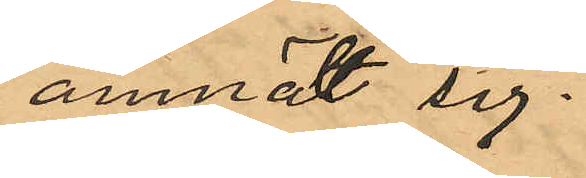anmält sig.
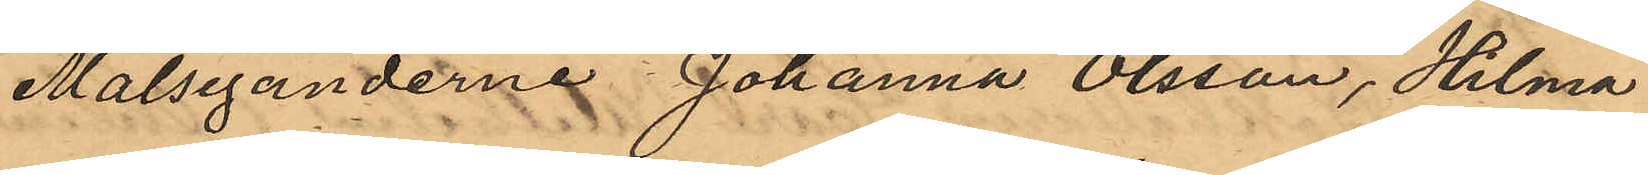Målseganderne Johanna Olsson, Hilma
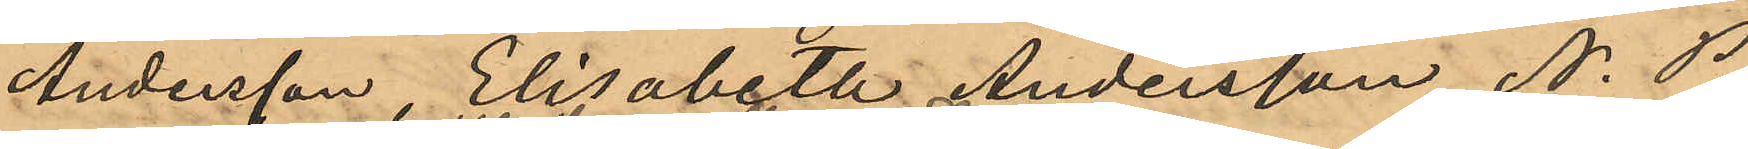Andersson, Elisabeth Andersson, N. P. 
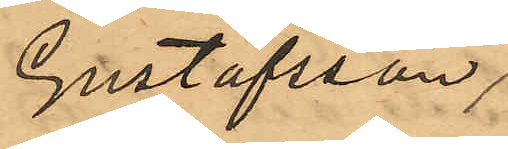Gustafsson,
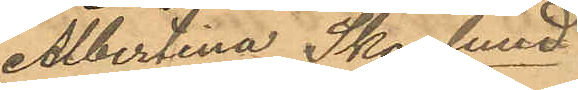Albertina Skoglund
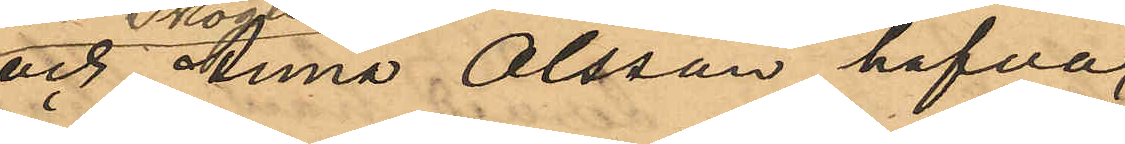och Anna Olsson hafva
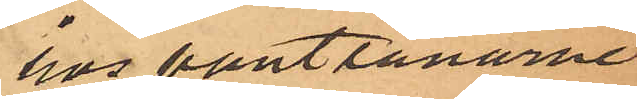hos pantlånarne
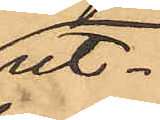ut¬
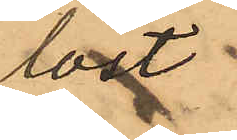löst
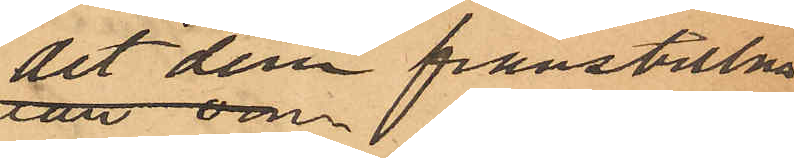det dem frånstulna
